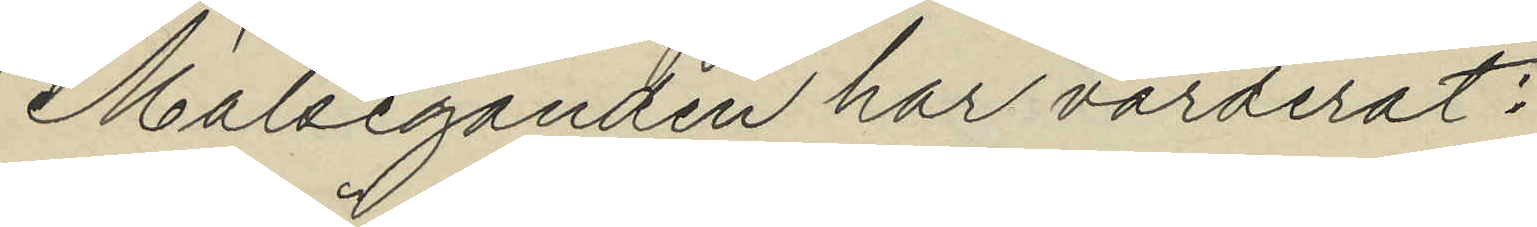Målseganden har värderat:
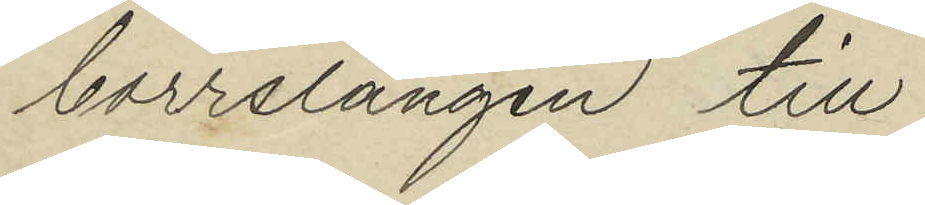borrslängen till
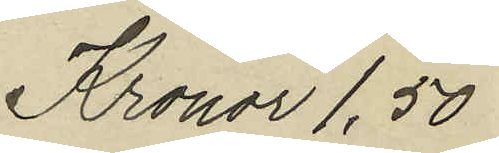Kronor 1,50
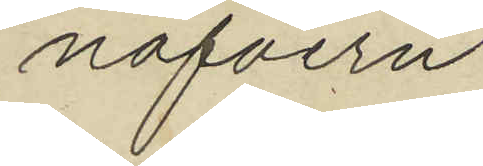nafvern
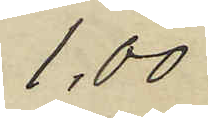1,00
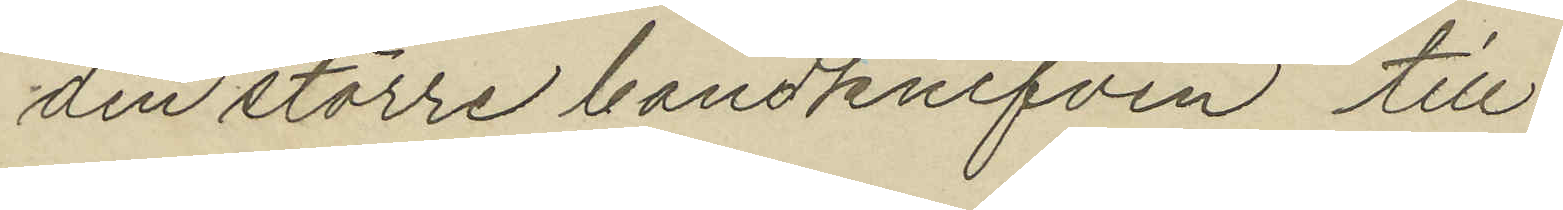den större bandknifven till
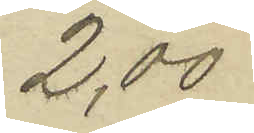2,00
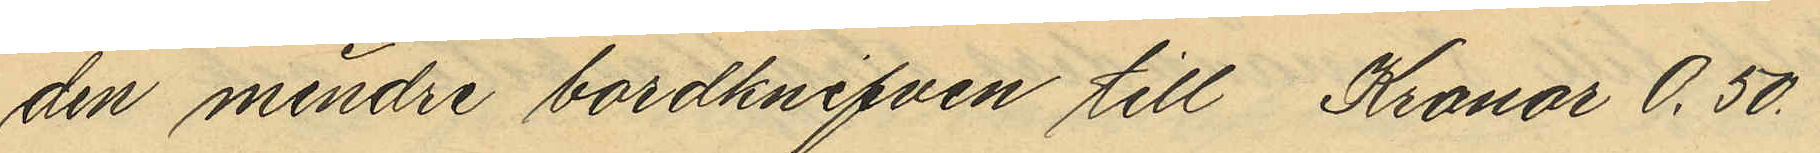den mindre bordknifven till Kronor 0.50.
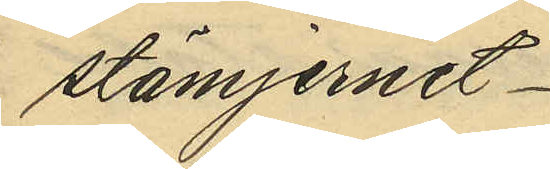stämjernet
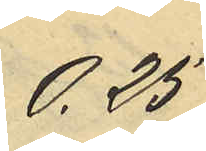0,25
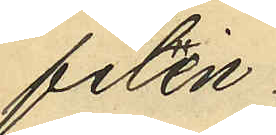filen
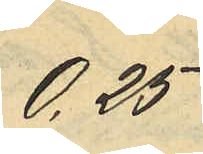0,25
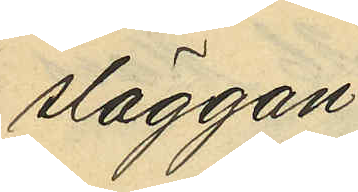släggan
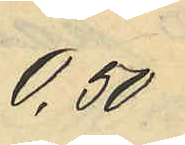0,50
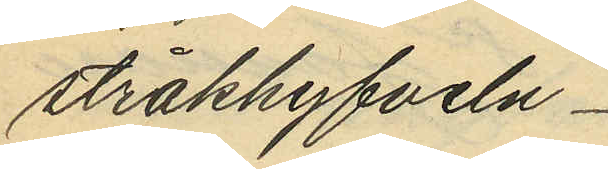stråkhyfveln
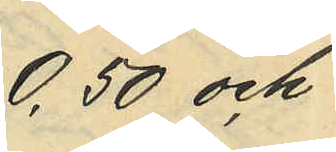0,50 och
